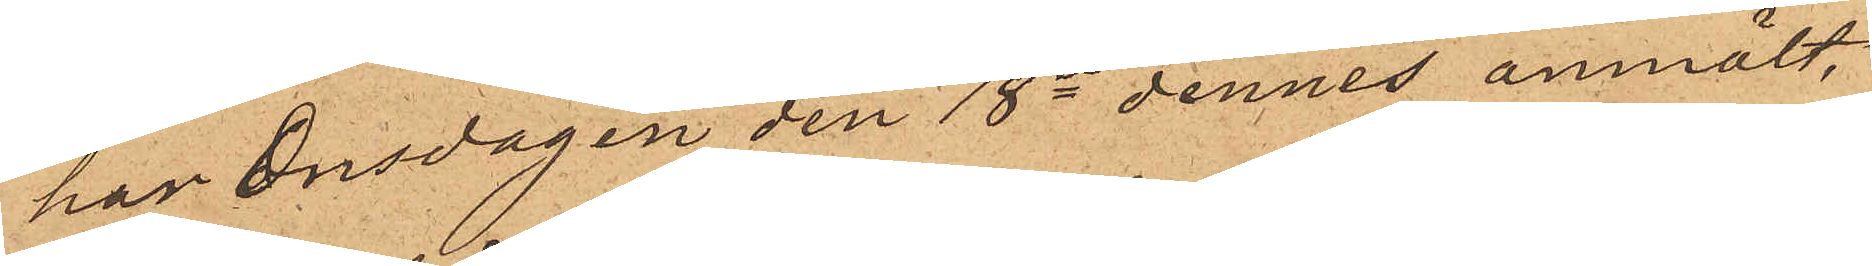han onsdagen den 18e dennes anmält,
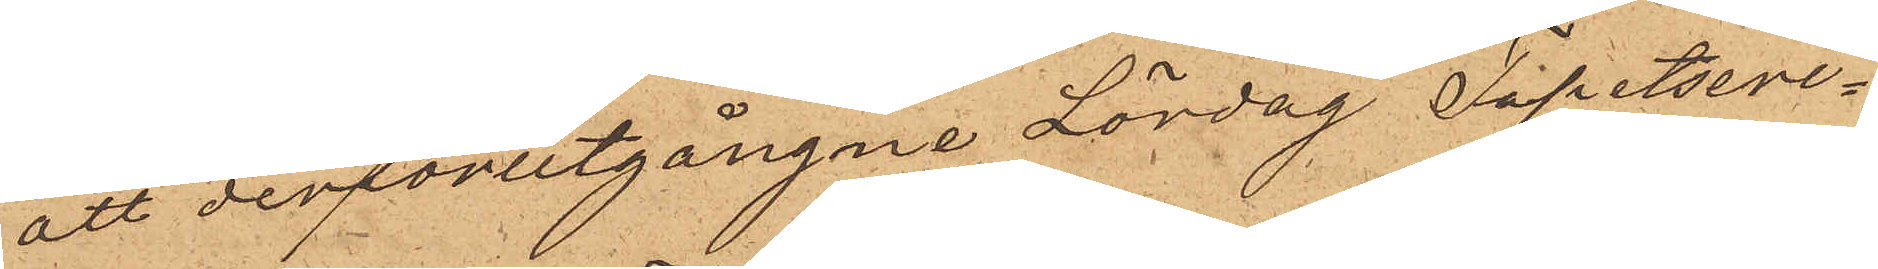att derförutgångne Lördag Tapetseri¬
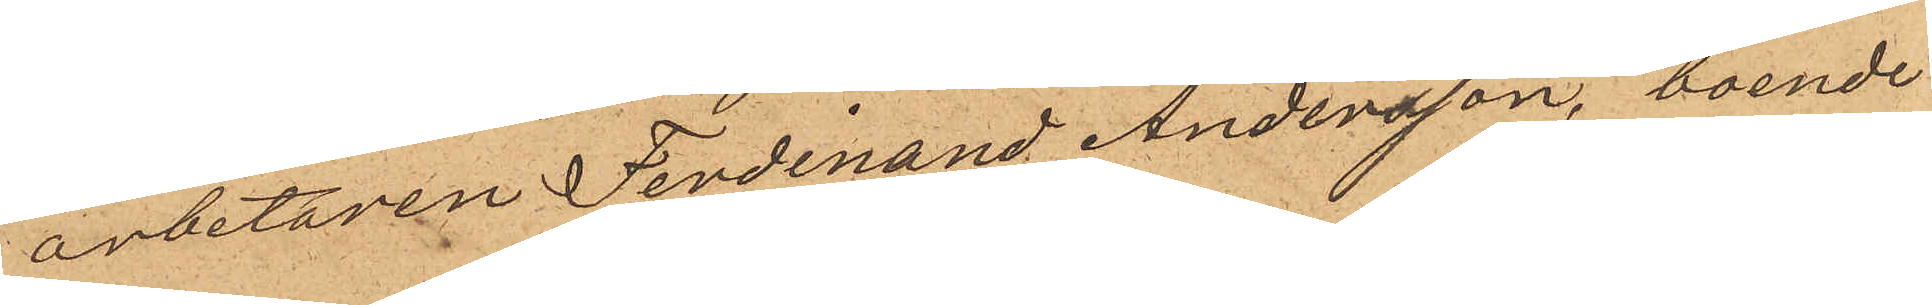arbetaren Ferdinand Andersson, boende
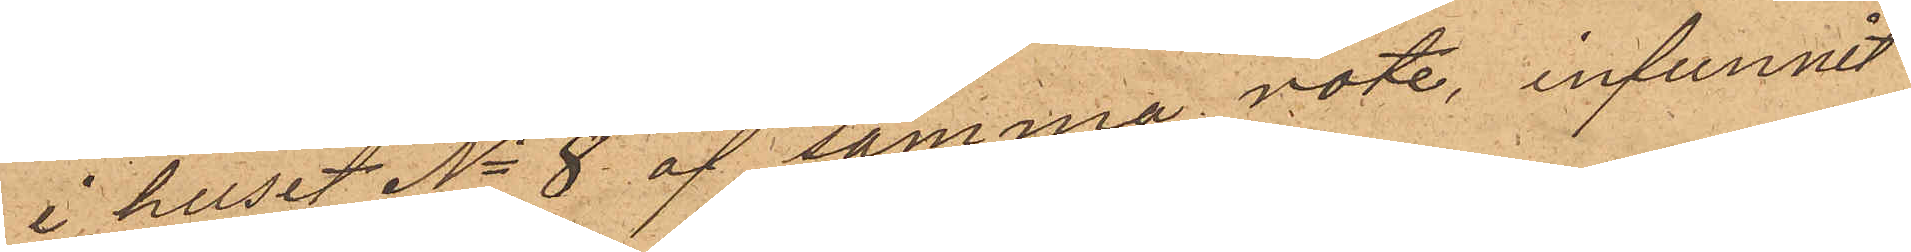i huset No 8 af samma rote, infunnit
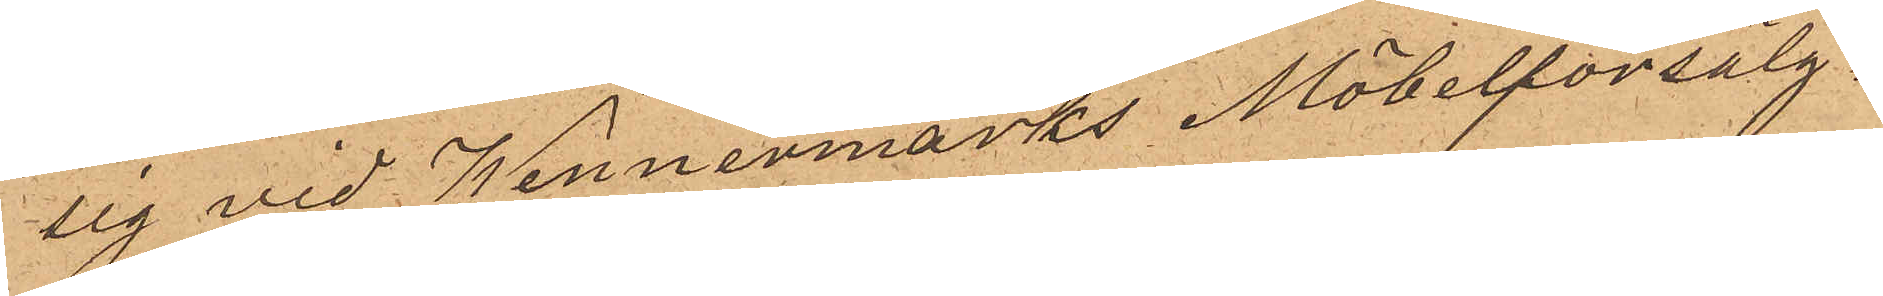sig vid Wennermarks Möbelförsälg¬
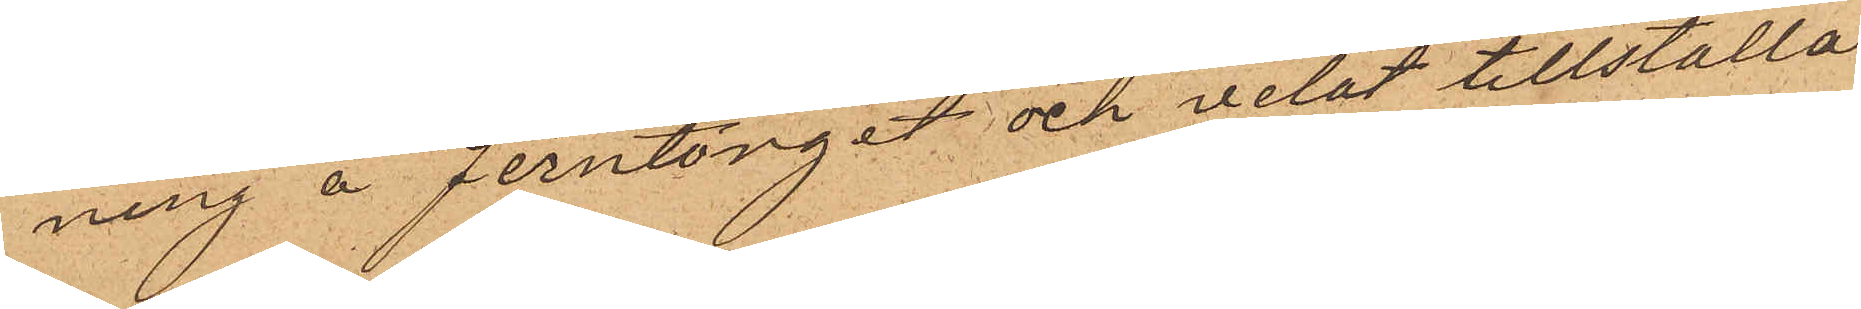ning å Jerntorget och velat tillställa
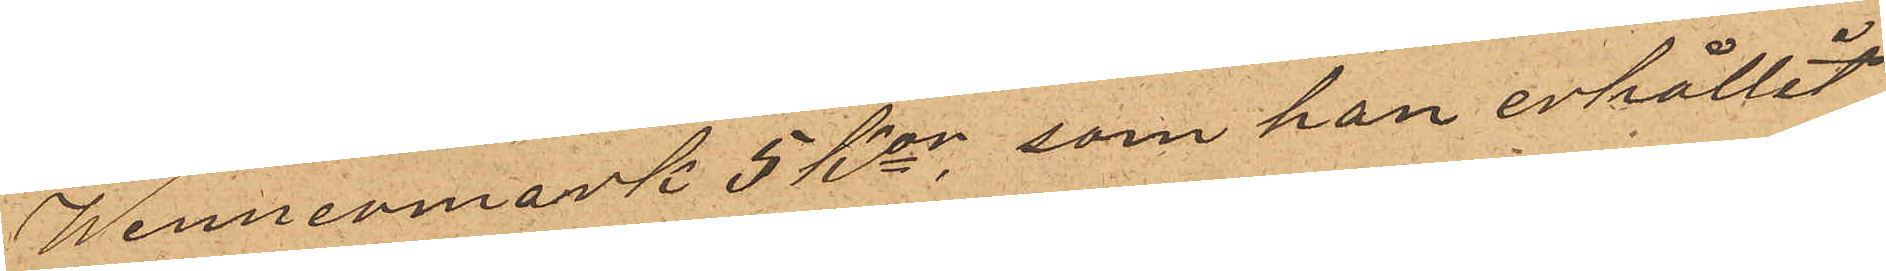Wennermark 5 Kor, som han erhållit
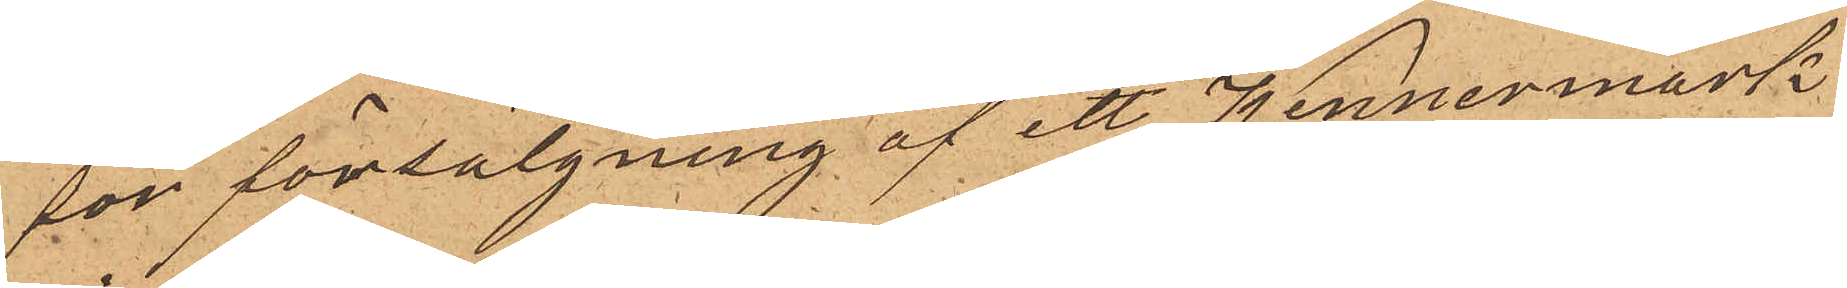för försäljning af ett Wennermark
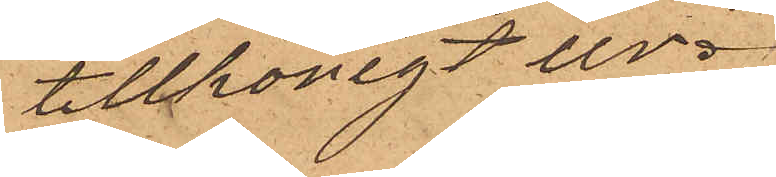tillhörigt ur.
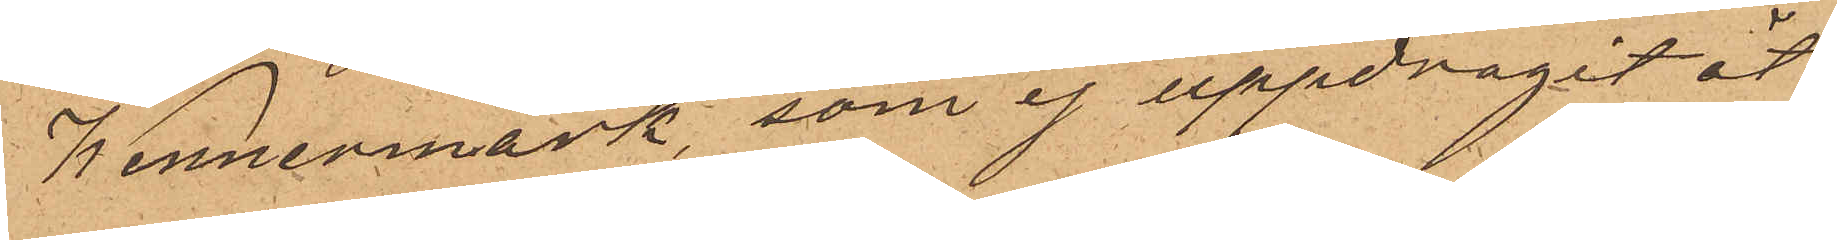Wennermark, som ej uppdragit åt
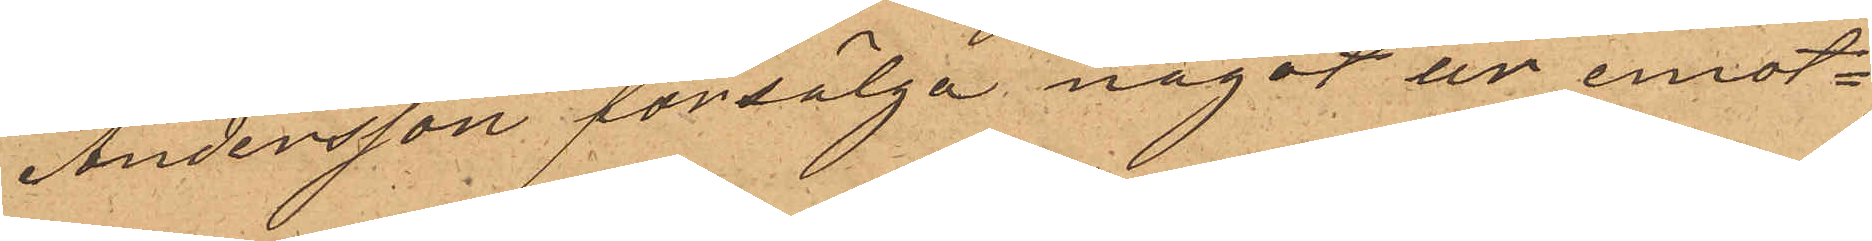Andersson försälja något ur emot¬
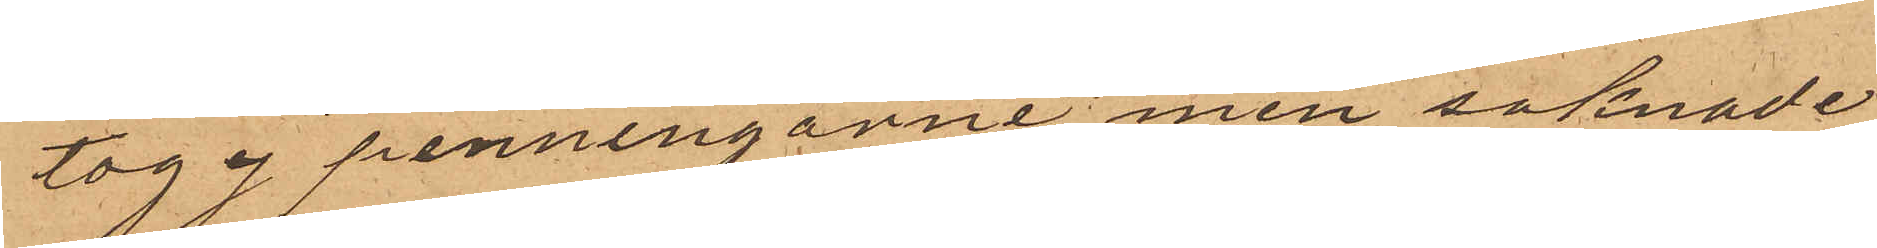tog ej penningarne men saknade
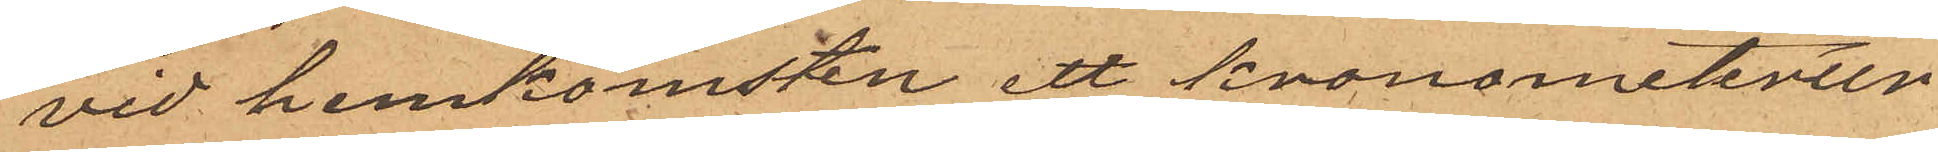vid hemkomsten ett kronometerur
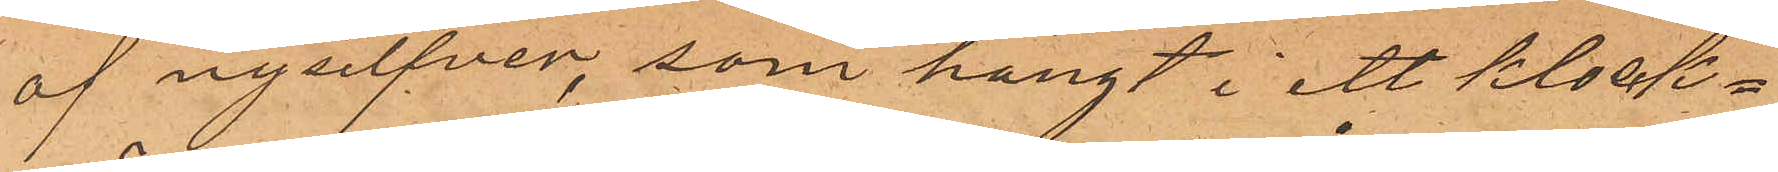af nysilfver, som hängt i ett klock¬
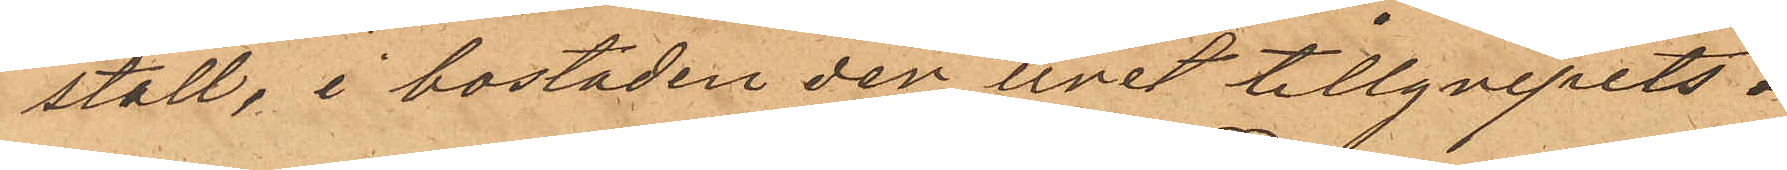ställ, i bostaden der uret tillgripits.
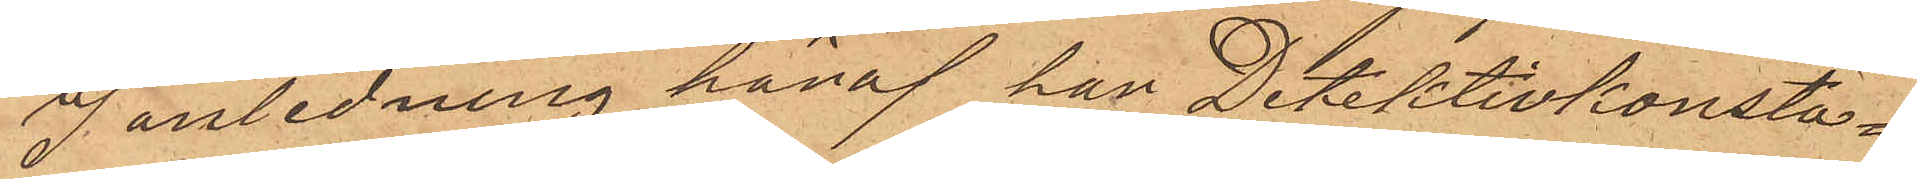I anledning häraf har Detektivkonsta¬
